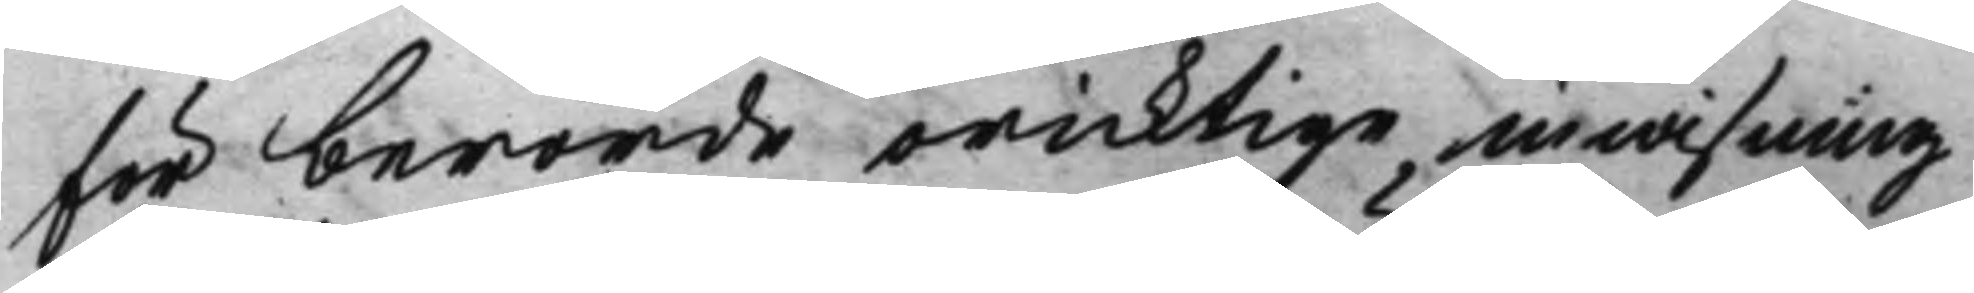för berörde oricktige inwisning
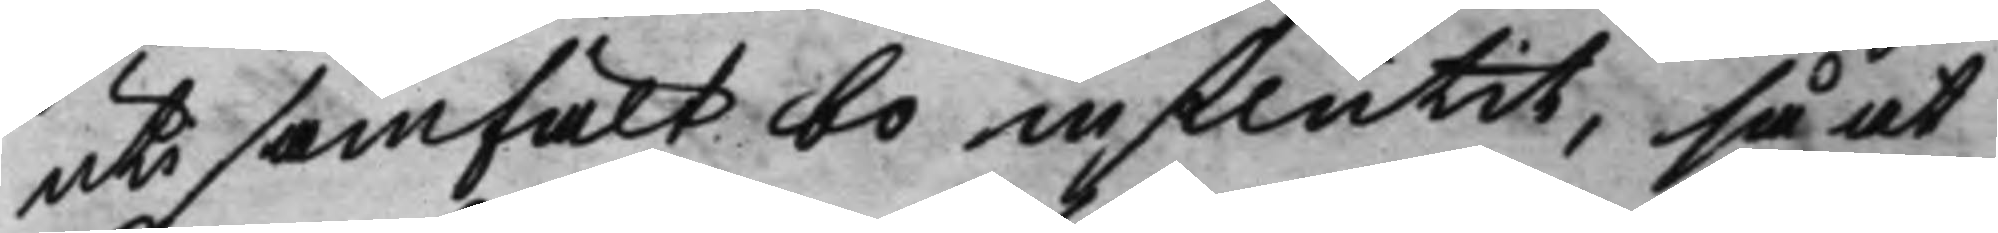uti samfält bo influtit, så at
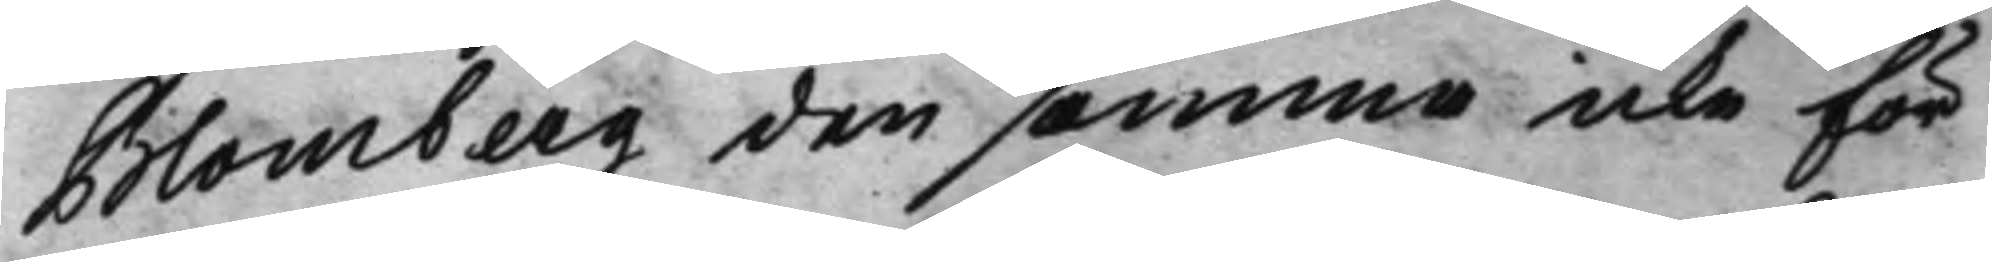Blomberg den samma icke för
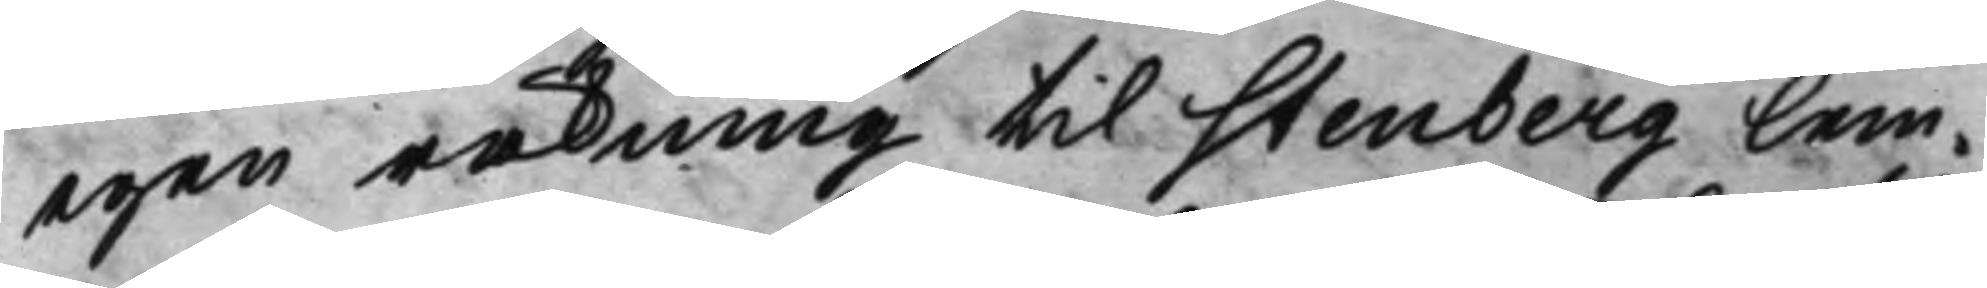egen räkning til Stenberg lem¬
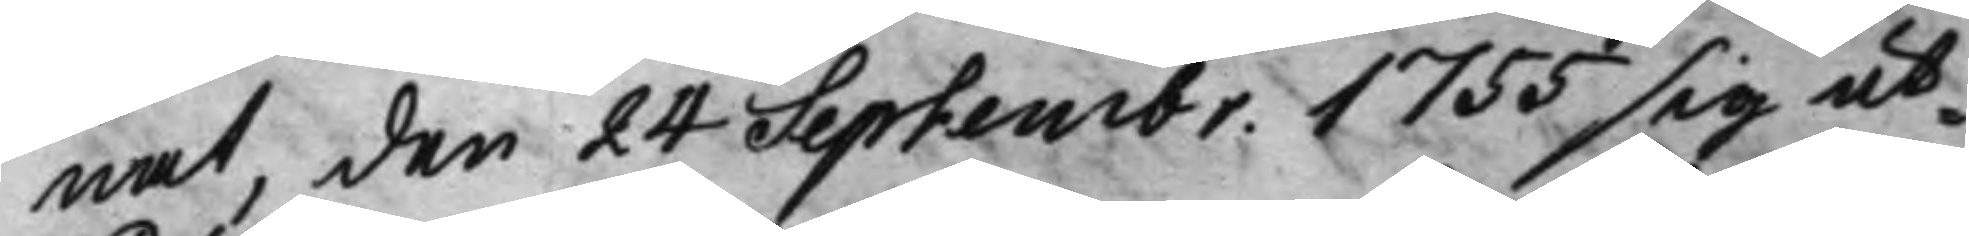nat, den 24 Septembr. 1753 sig ut¬ 
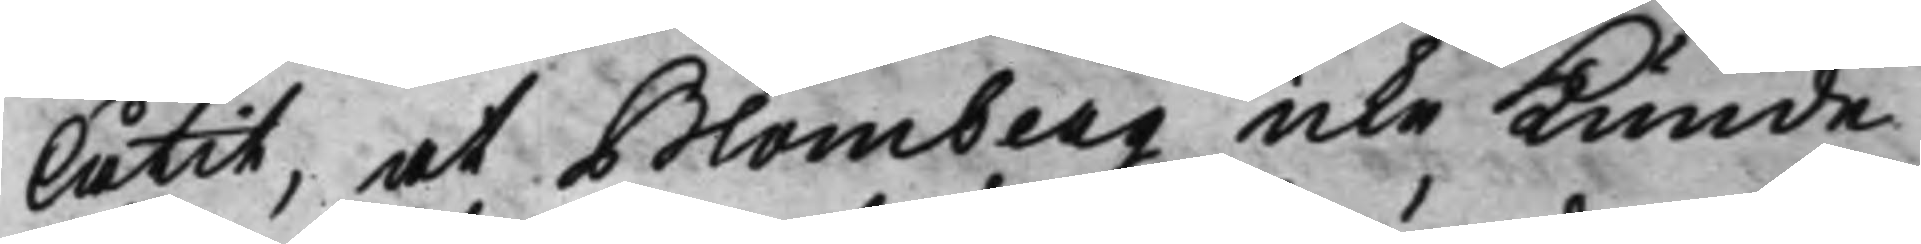låtit, at Blomberg icke Kunde
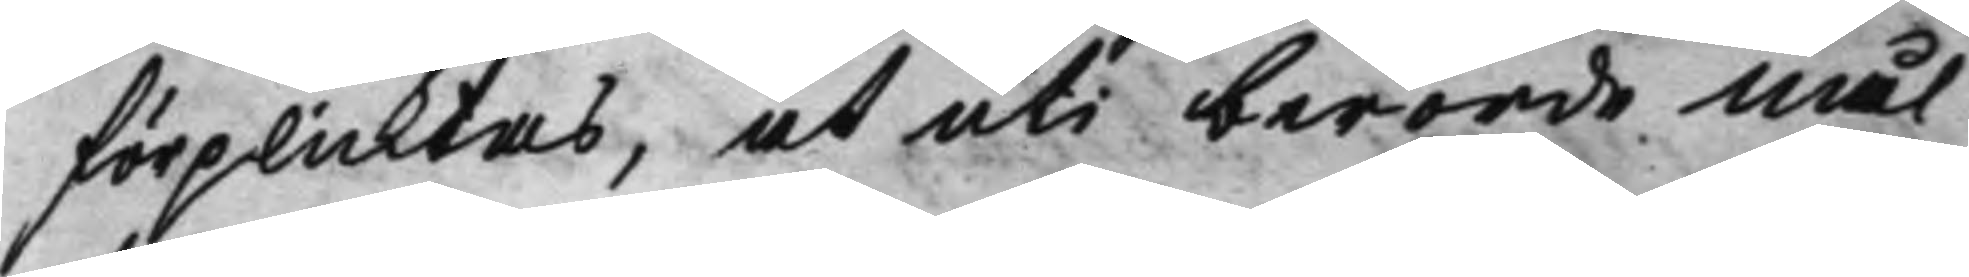förplicktas, at uti berörde mål
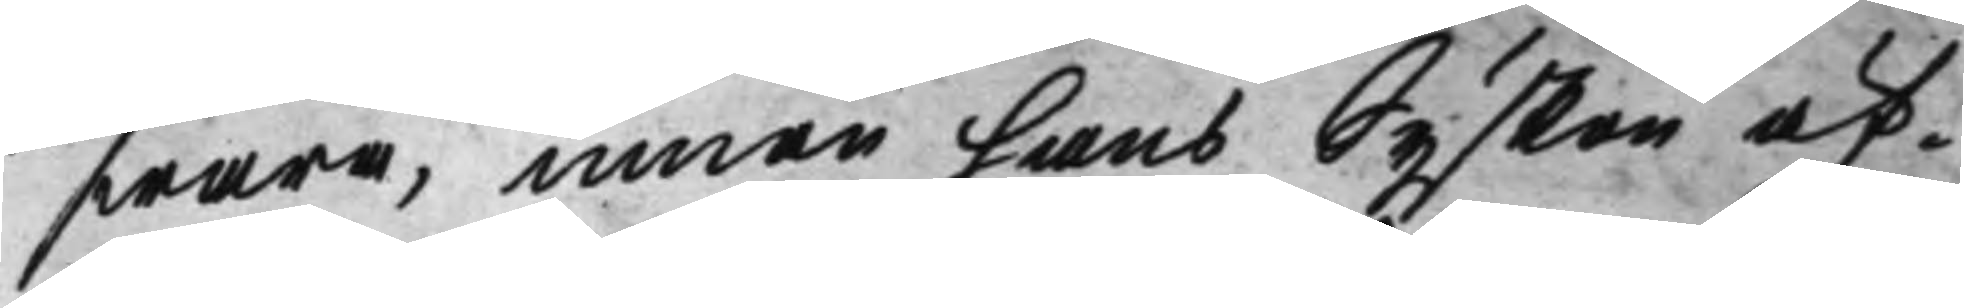swara, innan hans Syskon äf¬
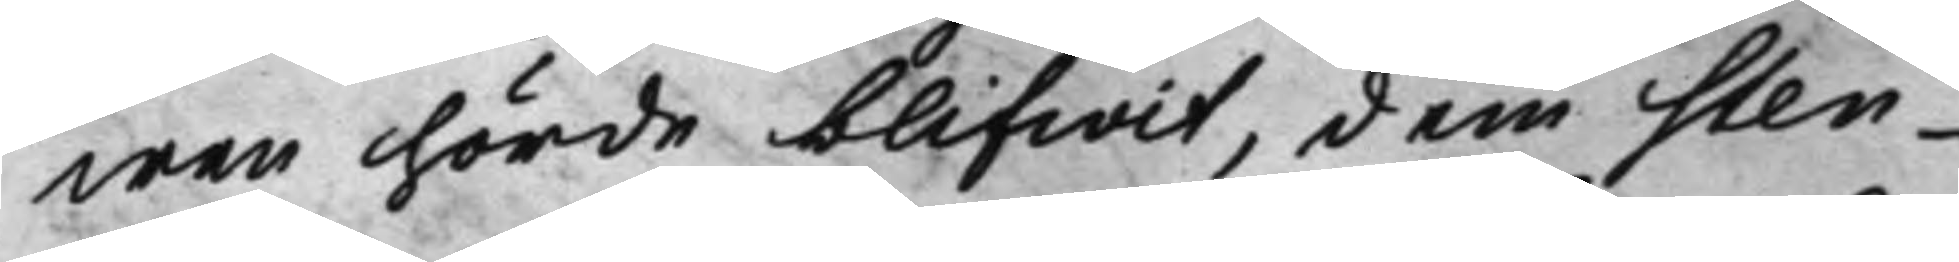wen hörde blifwit, dem Sten¬
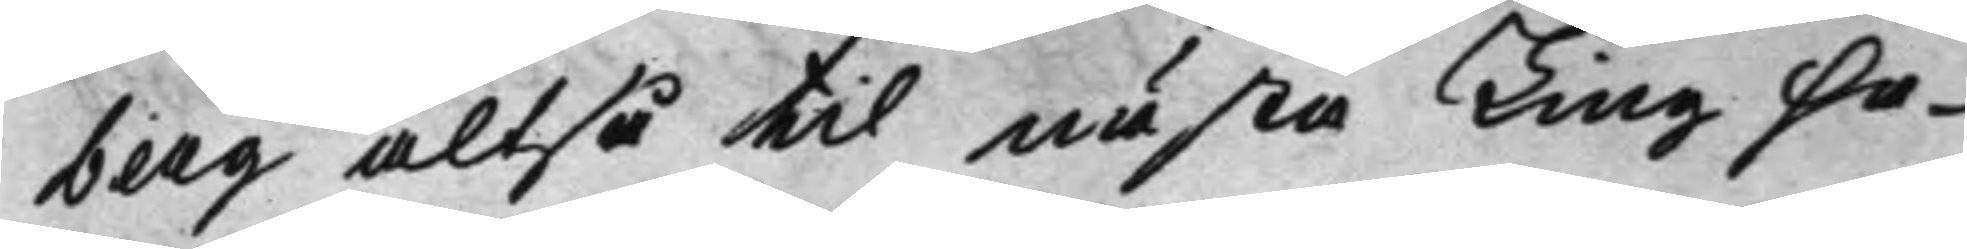berg altså til nästa Ting ha¬
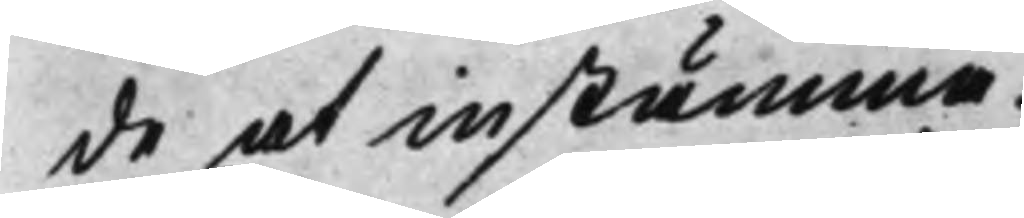de at instämma.
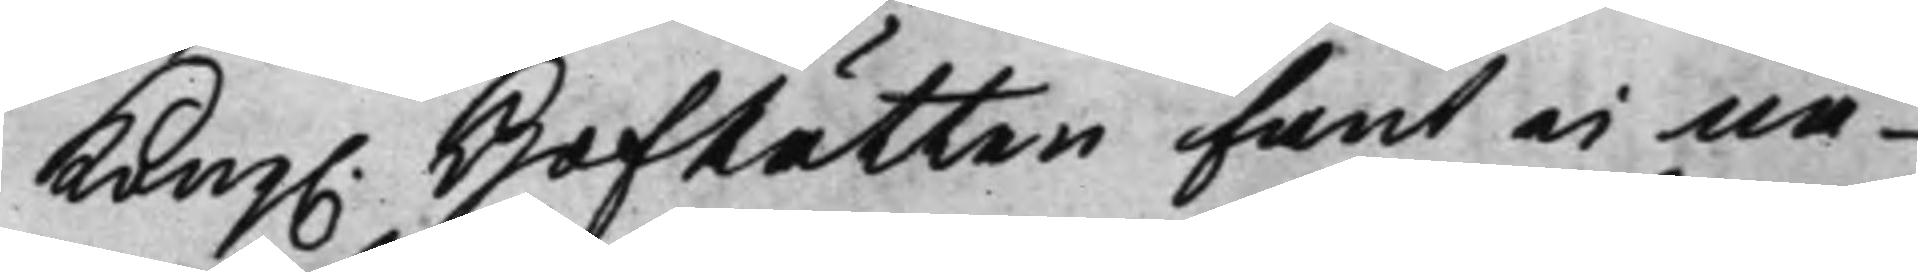Kong. HofRätten fant ei nå¬ 
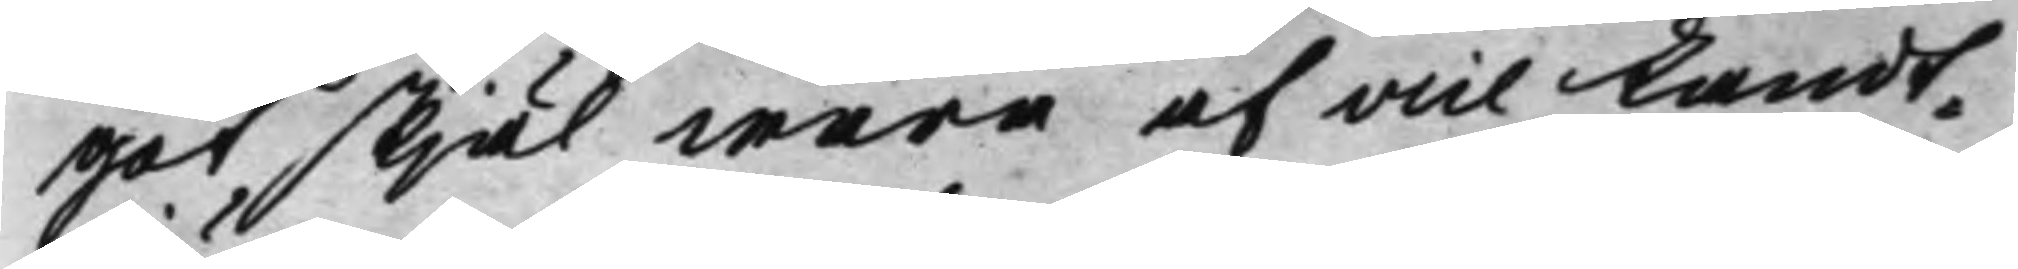got skiäl wara af vice Landt¬
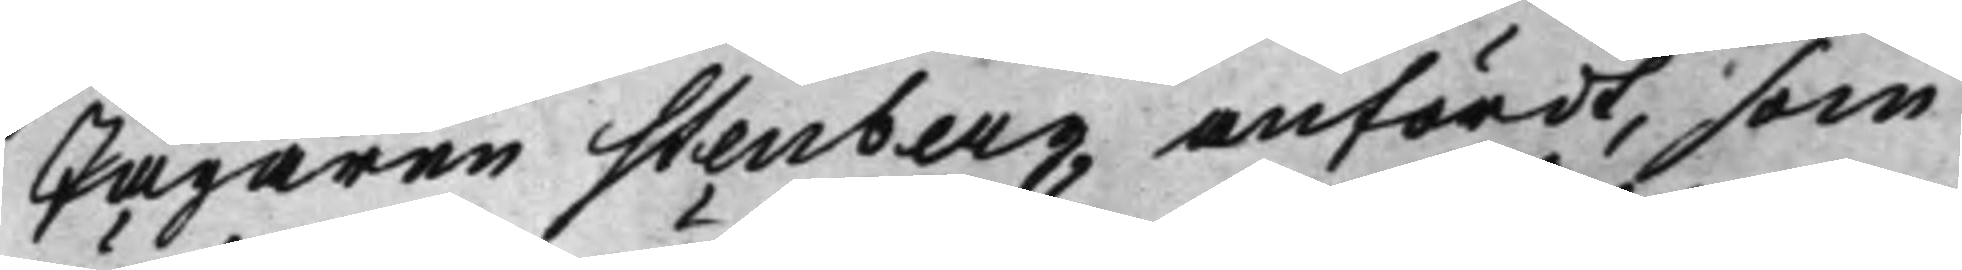Jägaren Stenberg anfördt, som
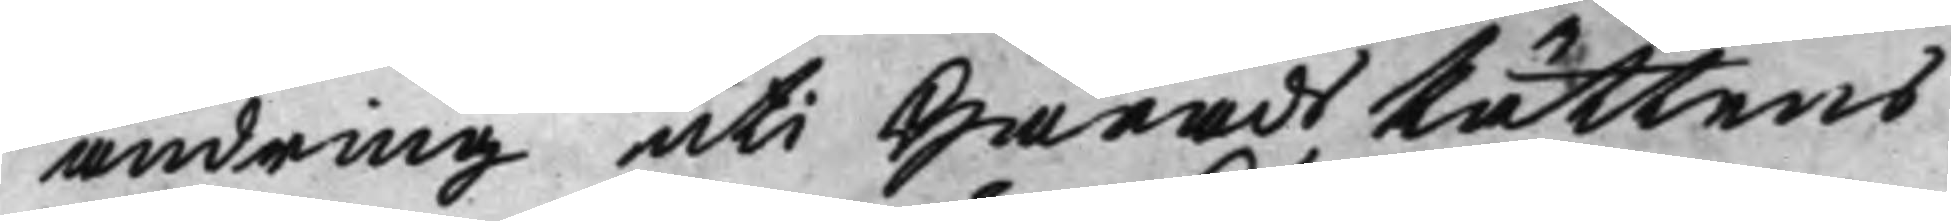ändring uti HäradsRättens
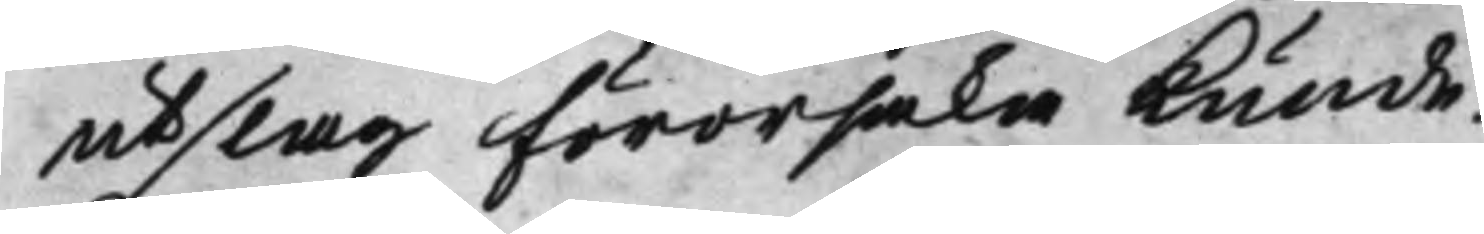utslag förorsaka kunde.
